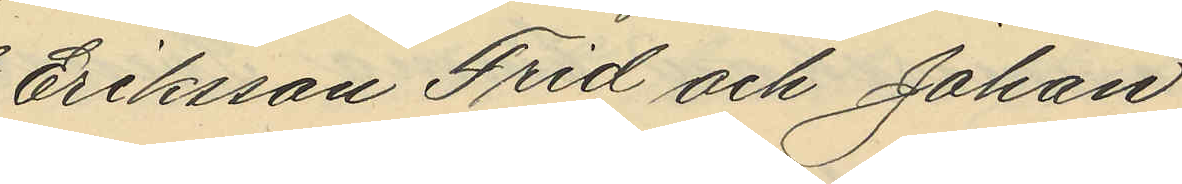Eriksson Frid och Johan
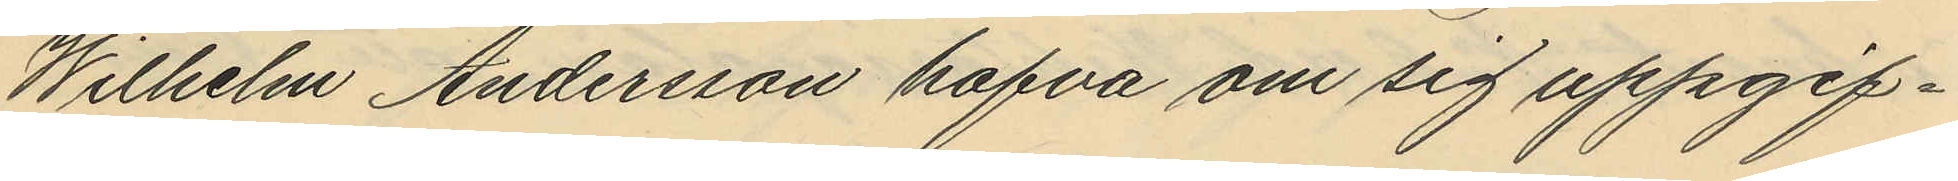Wilhelm Andersson hafva om sig uppgif¬
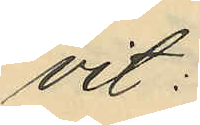vit:
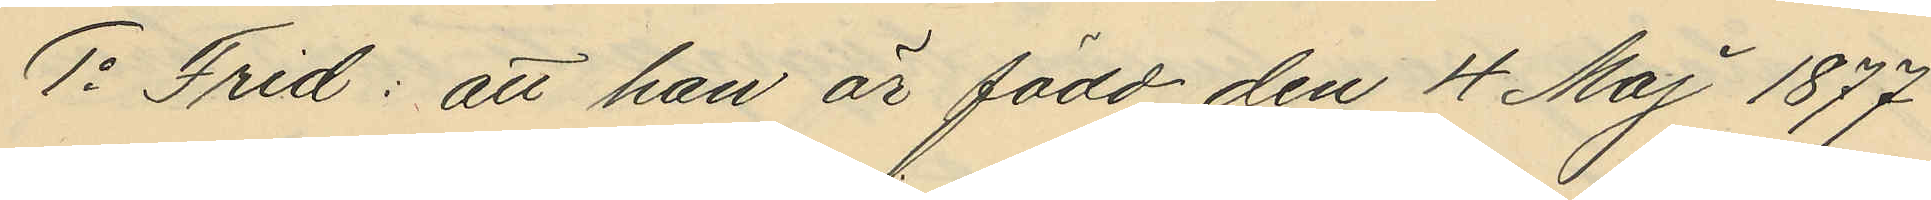1o Frid: att han är född den 4 Maj 1877
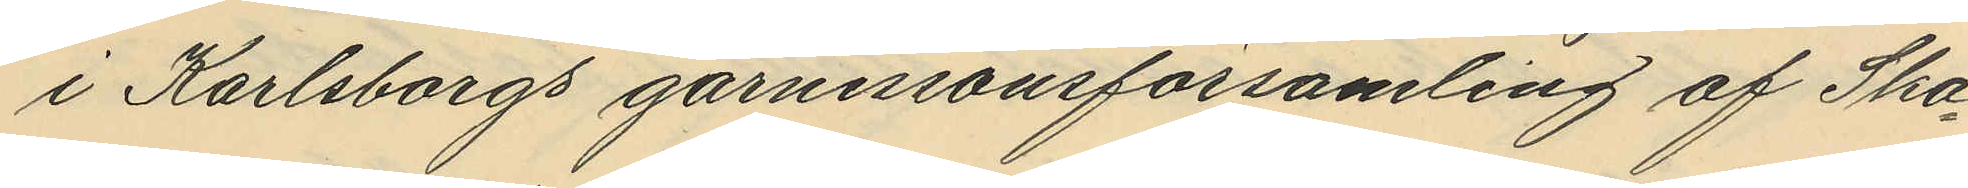i Karlsborgs garnisonsförsamling af Ska¬
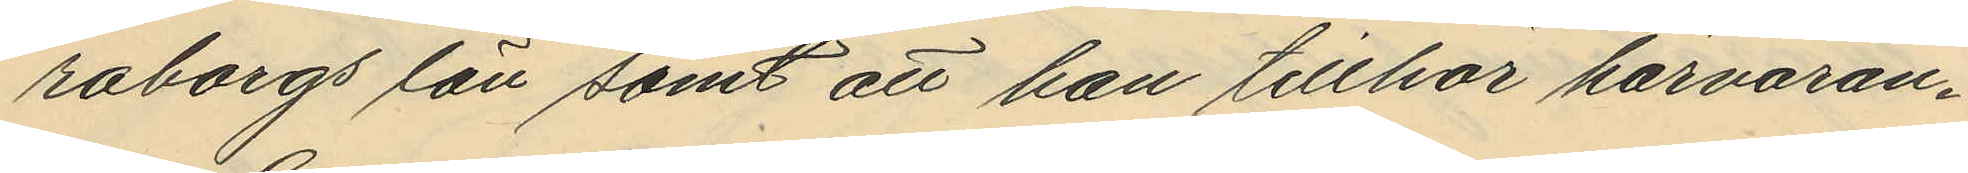raborgs län samt att han tillhör härvaran¬
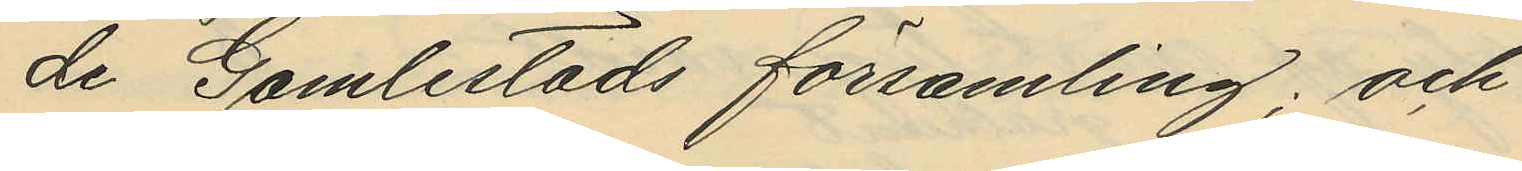de Gamlestads församling; och
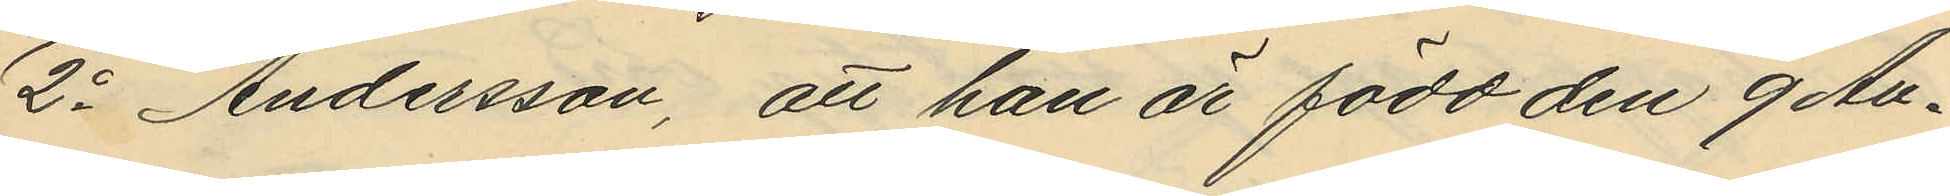2o Andersson: att han är född den 9 Au¬
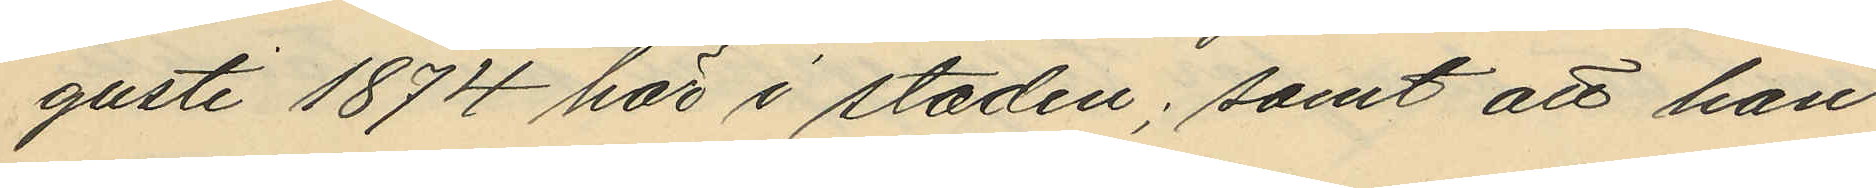gusti 1874 här i staden; samt att han
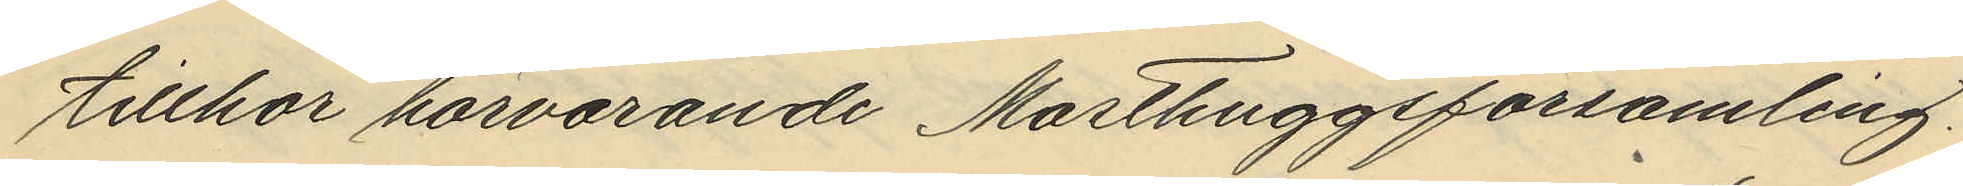tillhör härvarande Masthuggsförsamling.
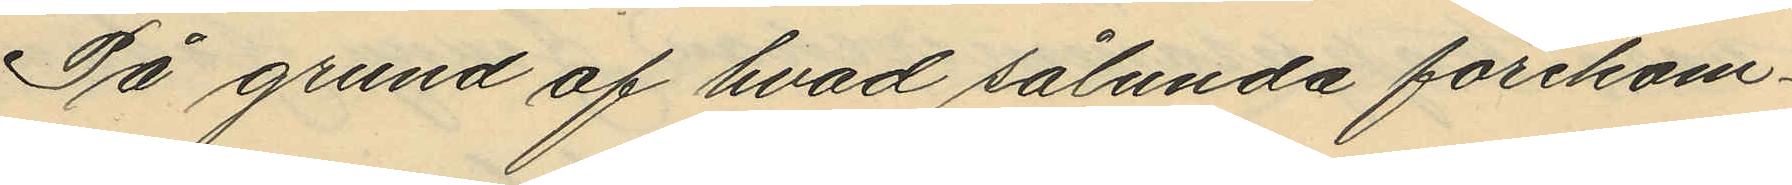På grund af hvad sålunda förekom¬
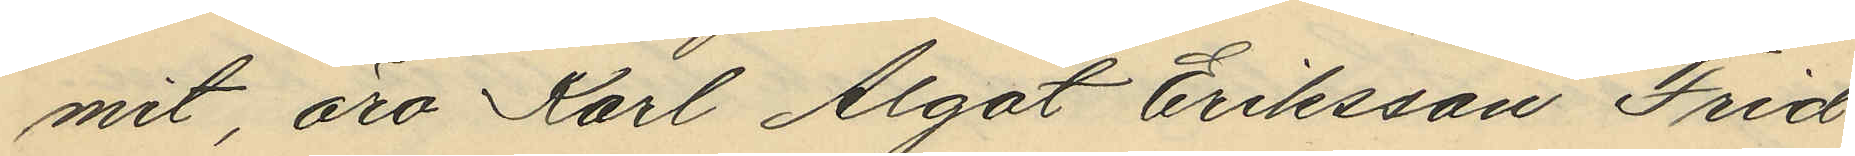mit, äro Karl Algot Eriksson Frid
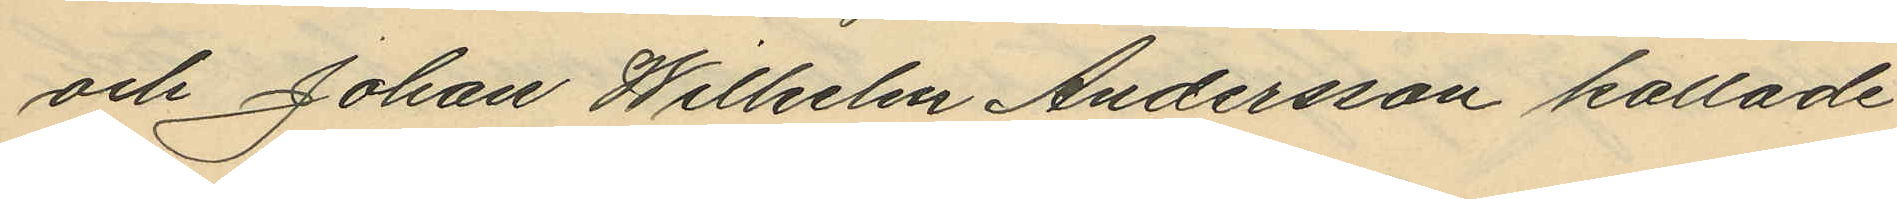och Johan Wilhelm Andersson kallade
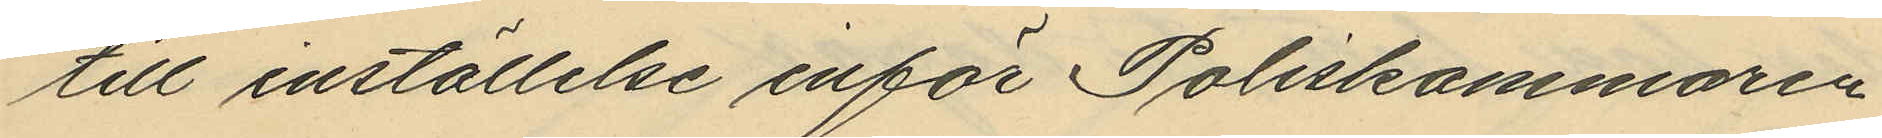till inställelse inför Poliskammaren
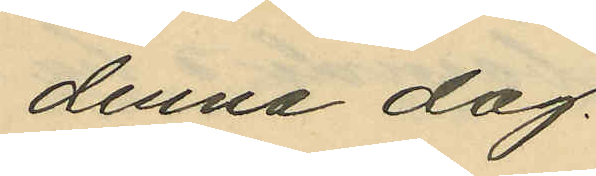denna dag.
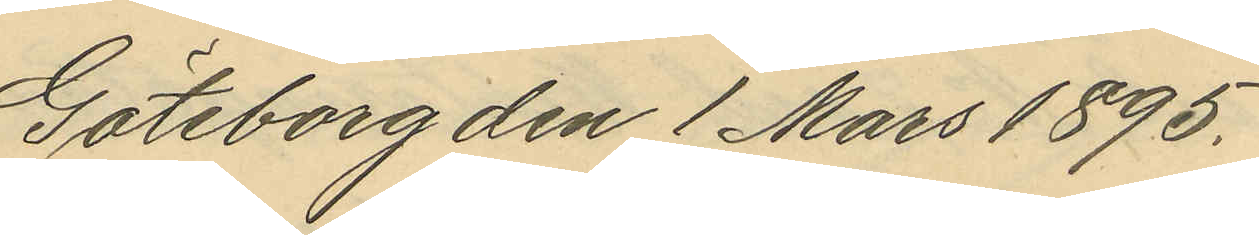Göteborg den 1 Mars 1895.
